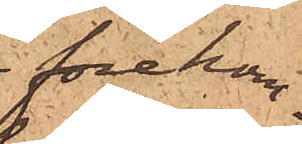förekom¬
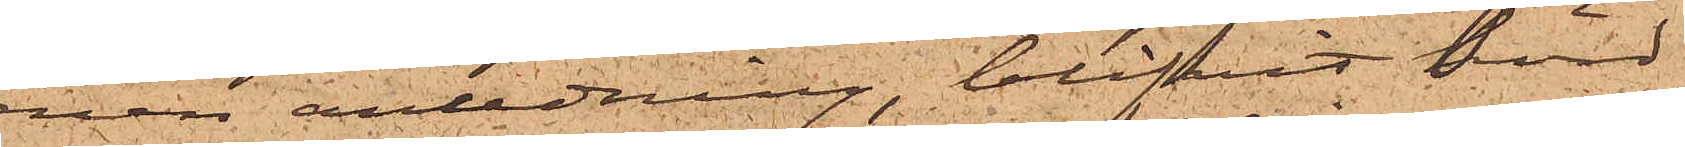men anledning, blifvit hörd
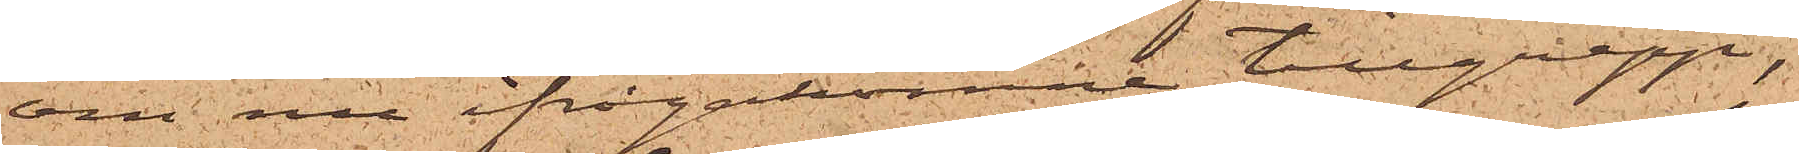om nu ifrågakomne tillgrepp;
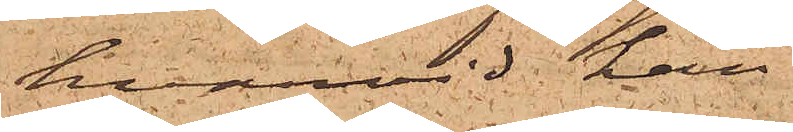hvarvid han
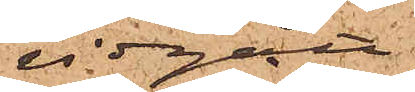vidgått;
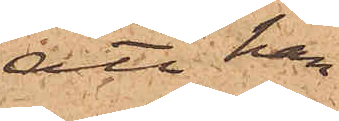att han
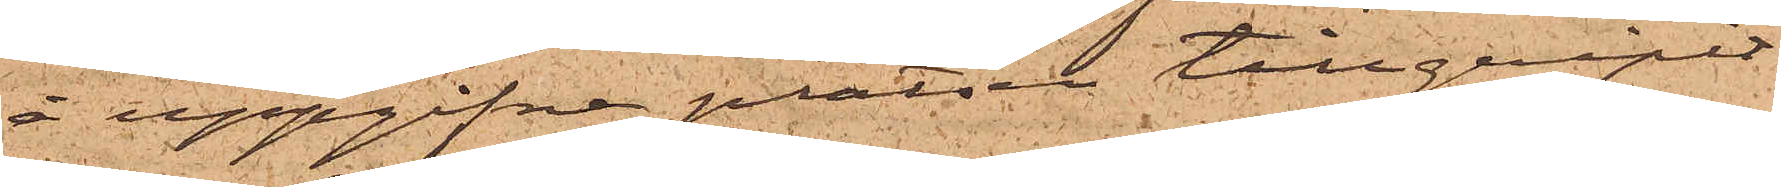å uppgifne platsen tillgripit
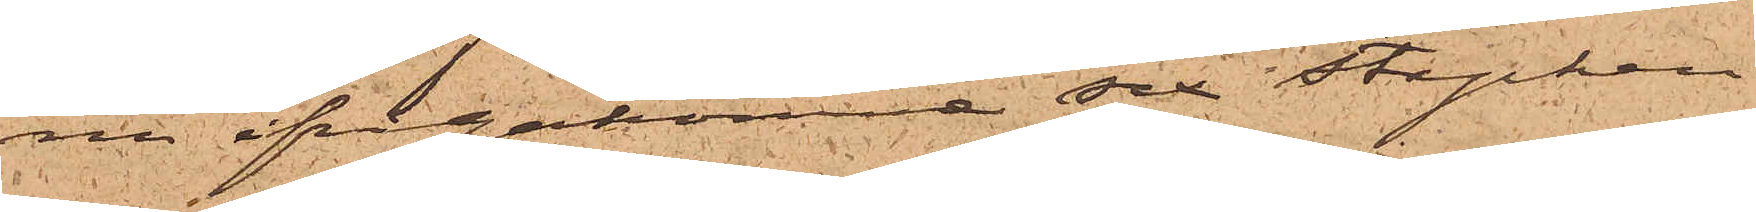nu ifrågakomne sex stycken
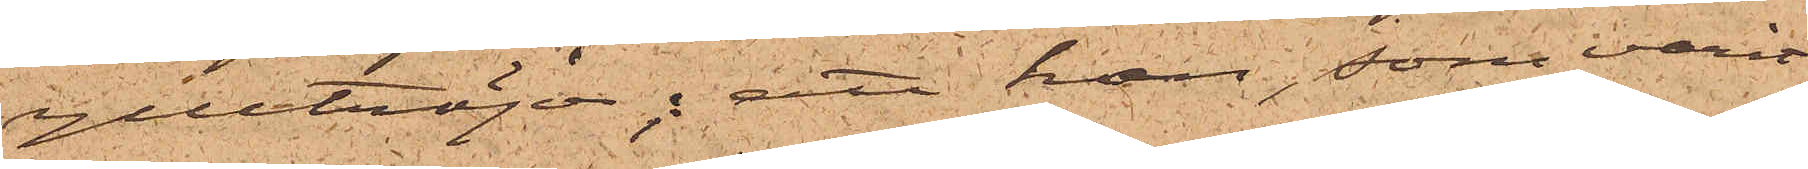ylletröjor; att han, som varit
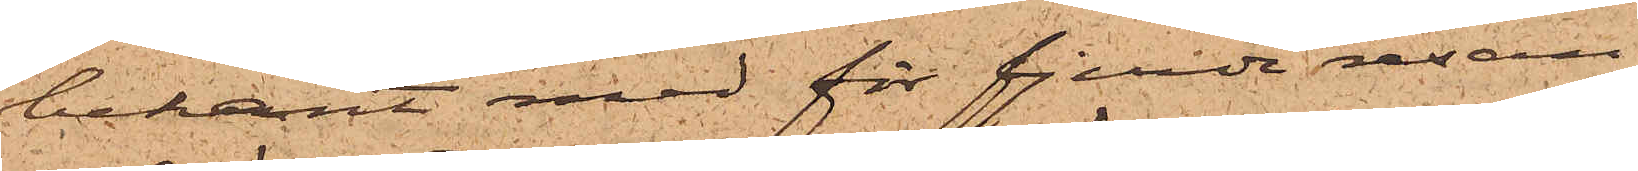bekant med för fjerde resan
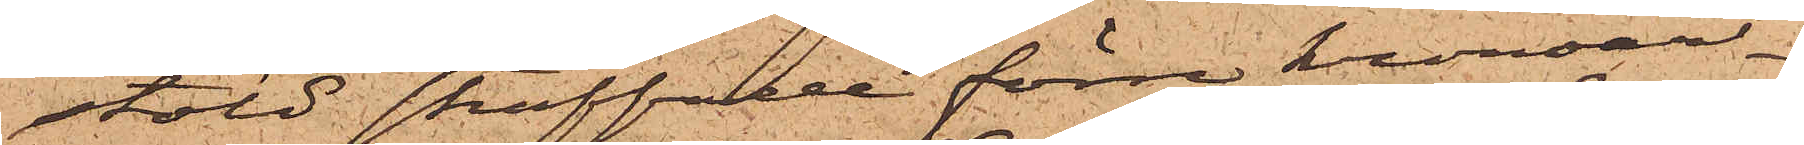stöld straffade förre kronoar¬
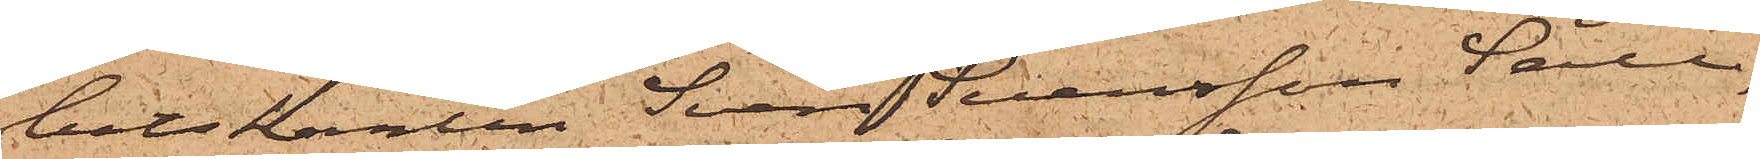betskarlen Sven Svensson Säll,
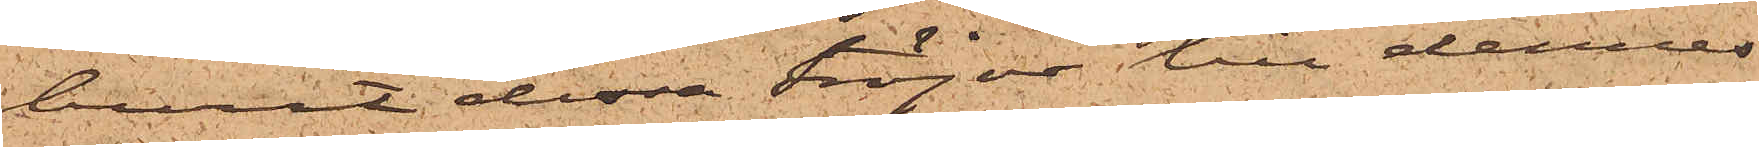burit dessa tröjor till dennes
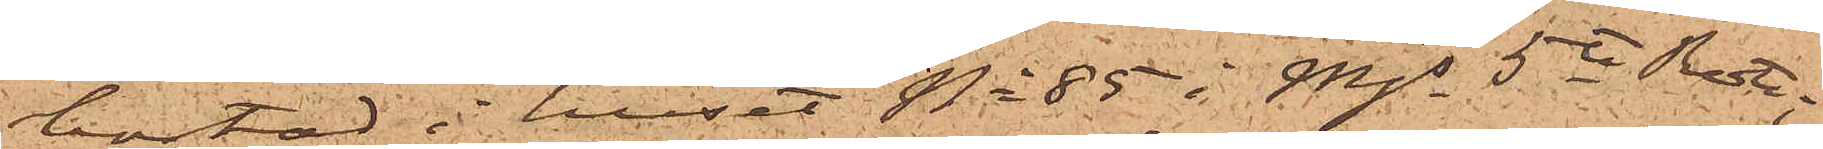bostad i huset No 85 i Mjs 5te Rote;
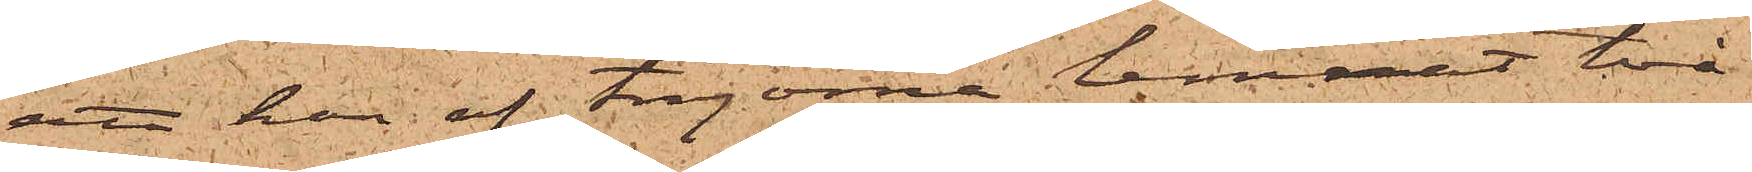att han af tröjorna lemnat två
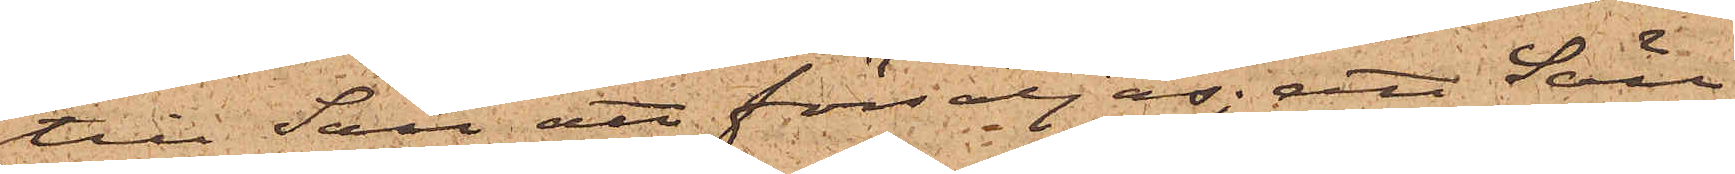till Säll att försäljas; att Säll
